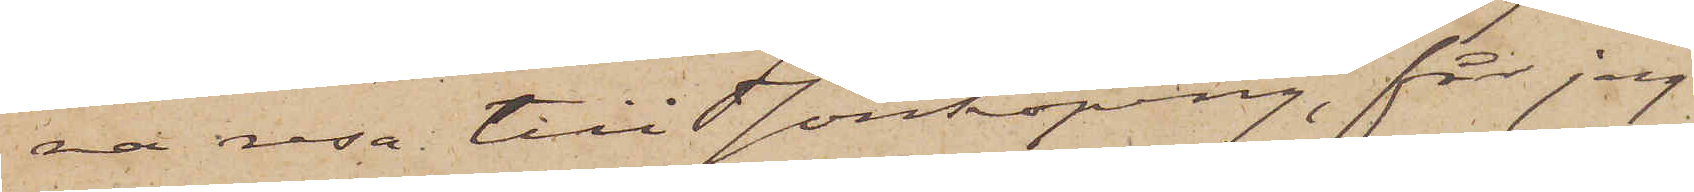na resa till Jönköping, får jag
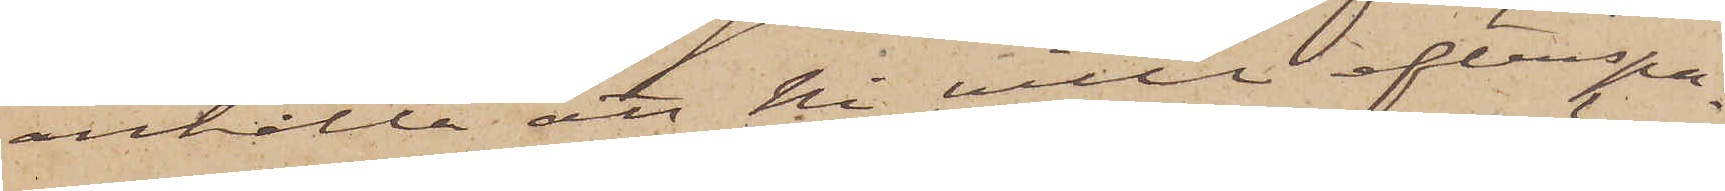anhålla att Ni ville efterspa¬
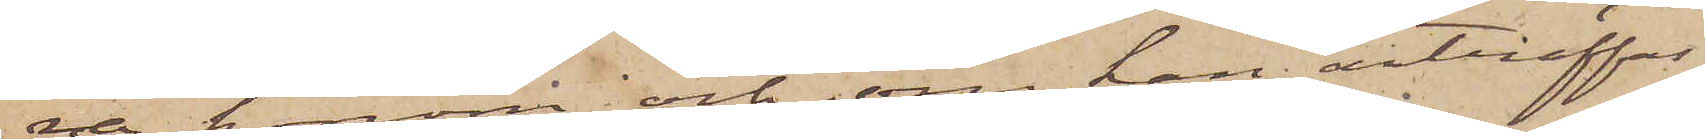na honom och, om han anträffas,
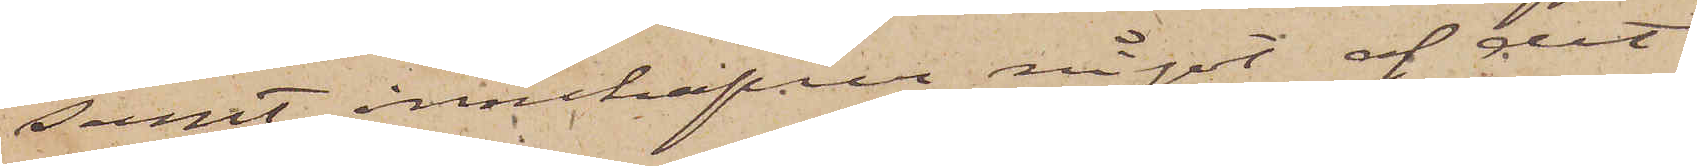samt innehafva något af det
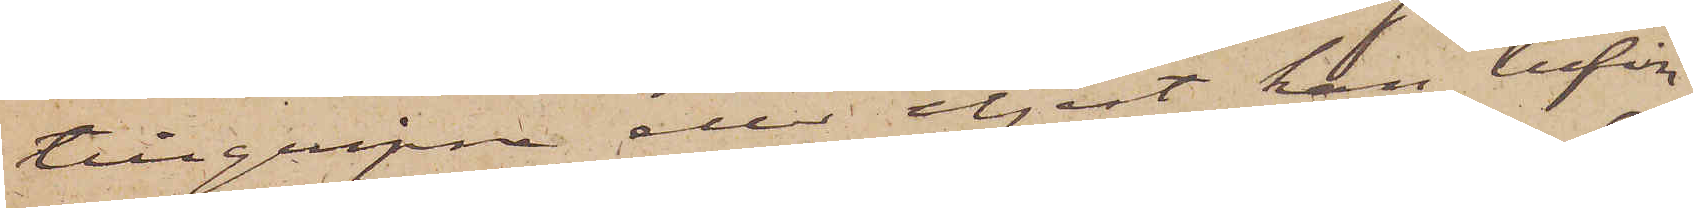tillgripne eller eljest kan befin¬
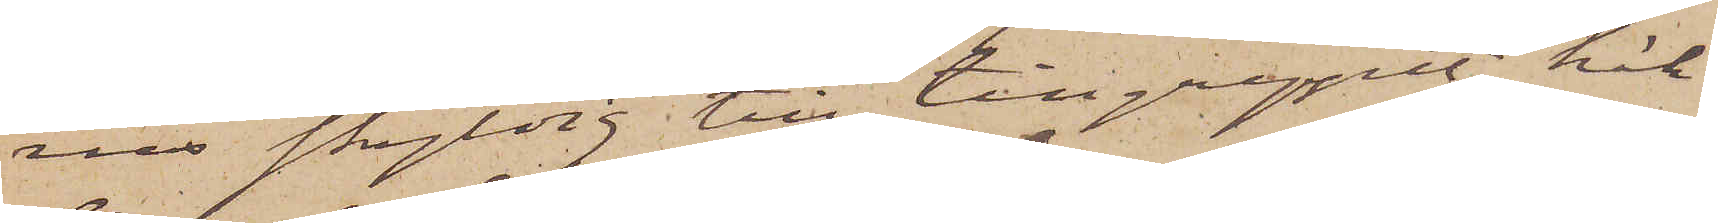nes skyldig till tillgreppet, häk¬
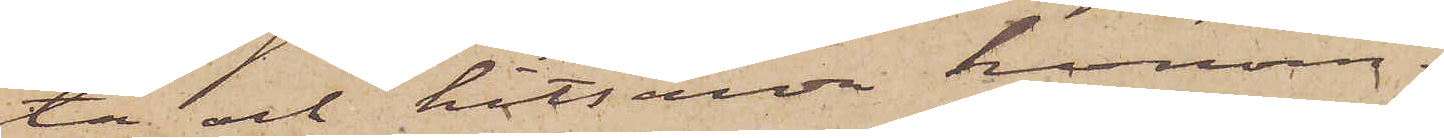ta och hitsända honom.
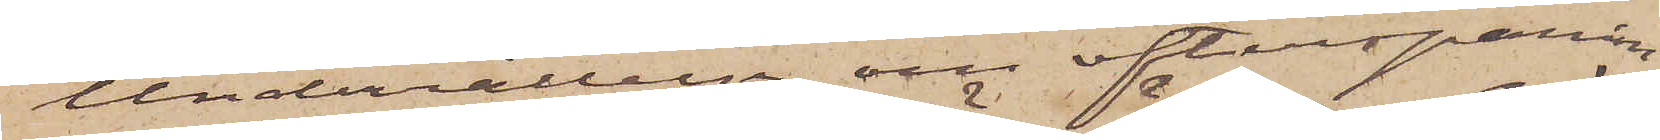Underrättelse om efterspanin¬
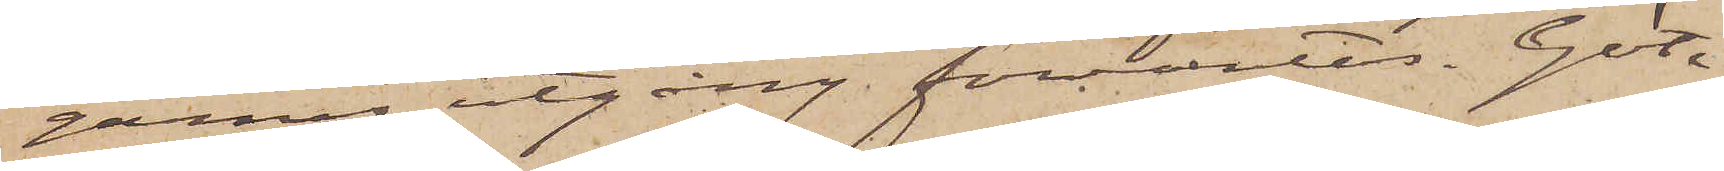garnes utgång förväntas. Göte¬
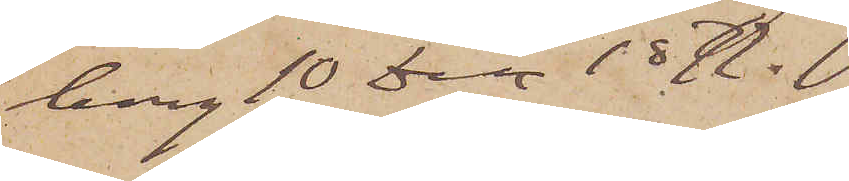borg 10 Dec 1877.
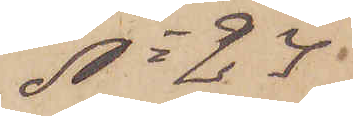No 24.
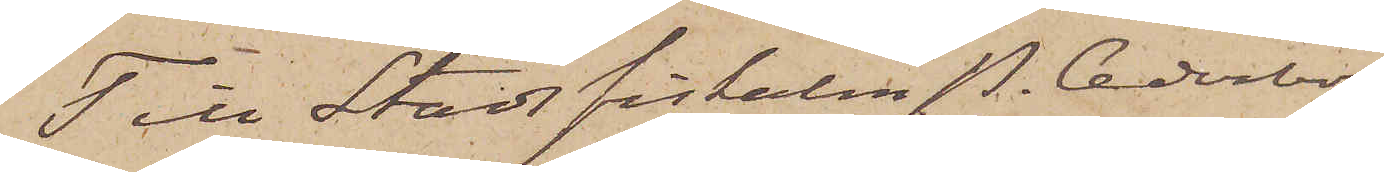Till Stadsfiskalen P. Cederborg
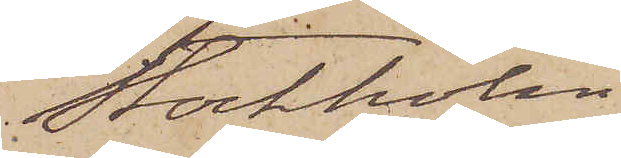Stockholm
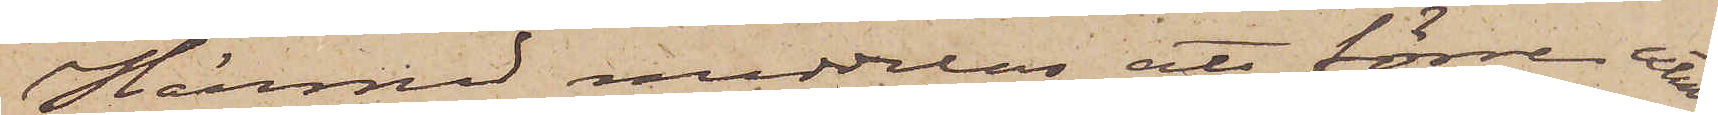Härmed meddelas att förre extra
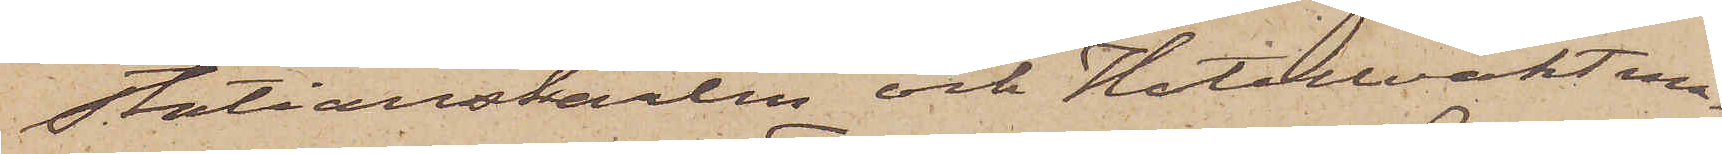Stationskarlen och Hotellsvaktmä¬
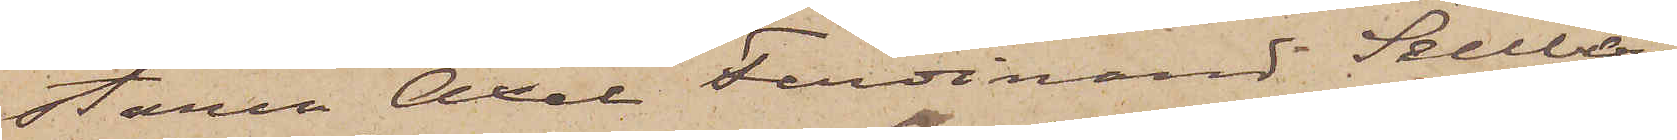staren Axel Ferdinand Sellberg
